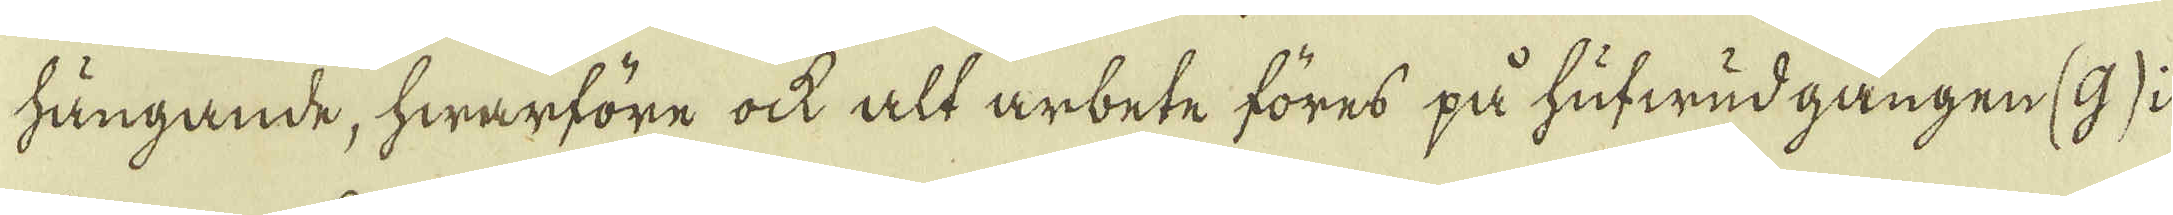hängande, hwarföre ock alt arbete föres på hufwud gången (g) i
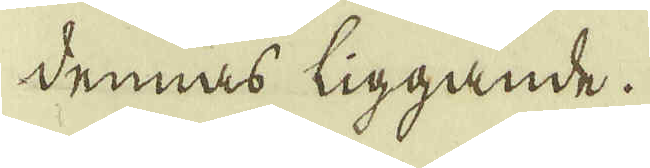dennas liggande.
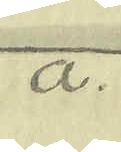a.
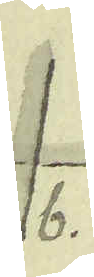b.
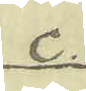c.
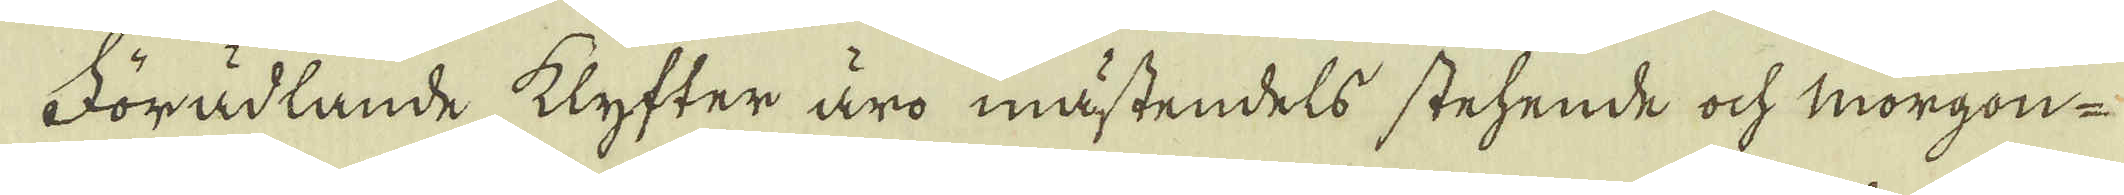Förädlande klyfter äro mästendels stehende ock morgon-
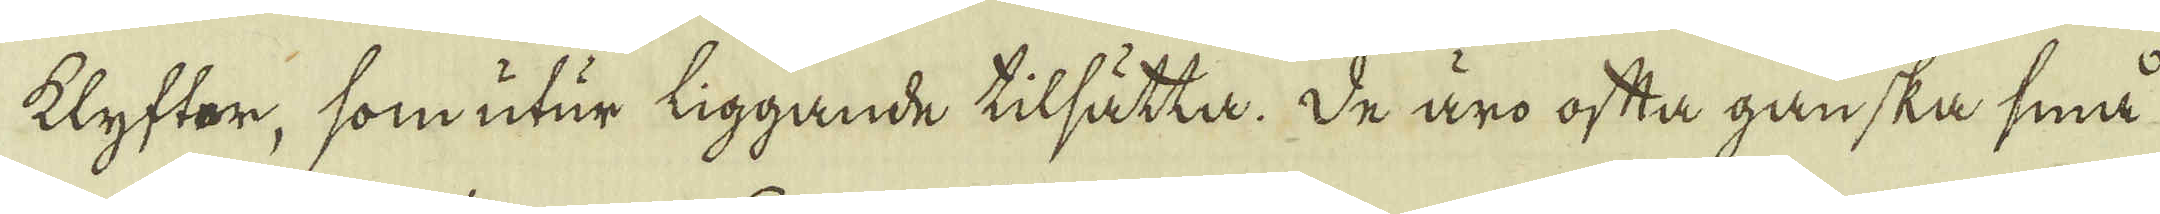klyftor, som utur liggande tilsätta. De äro ofta ganska små
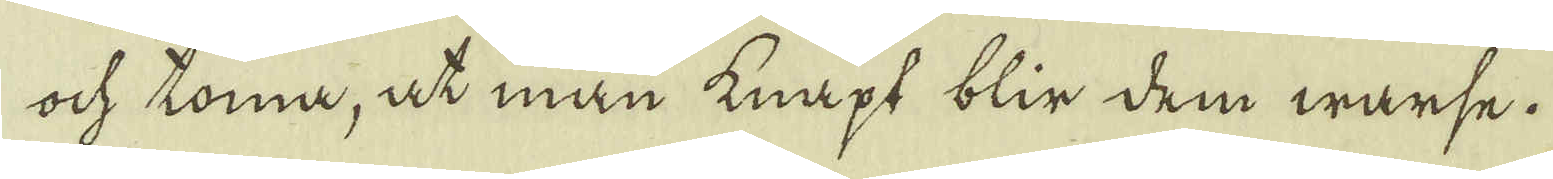ock komma, at man knapt blir dem wärse.
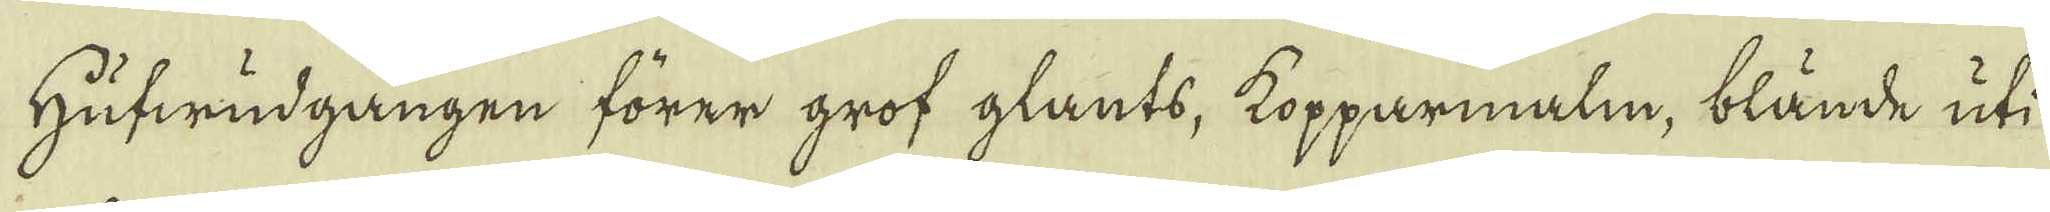Hufwudgången förer grof glants, kopparmalm, blände uti
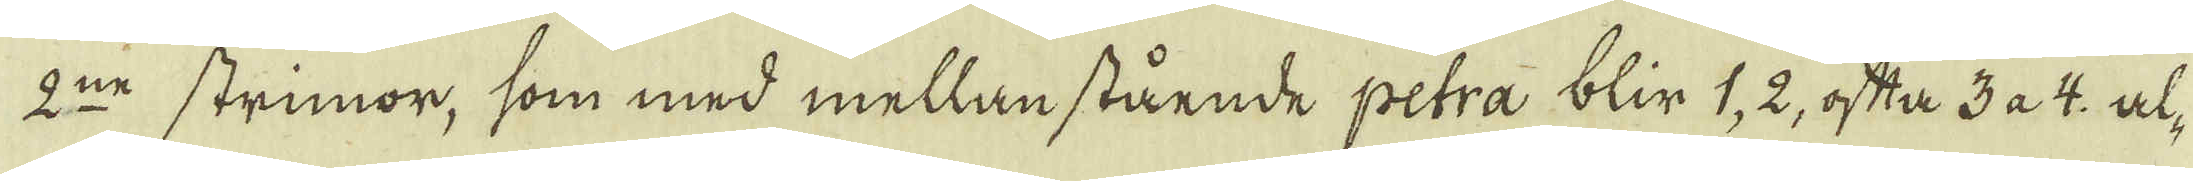2:ne strimor, som med mellan stående petra blir 1, 2, ofta 3 a 4: al-
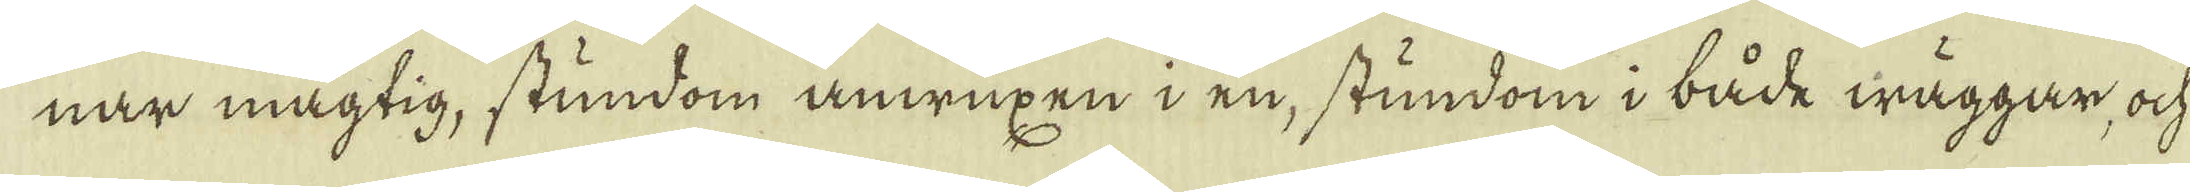nar mägtig, stundom anwuxen i en, stundom i både wäggar, ock
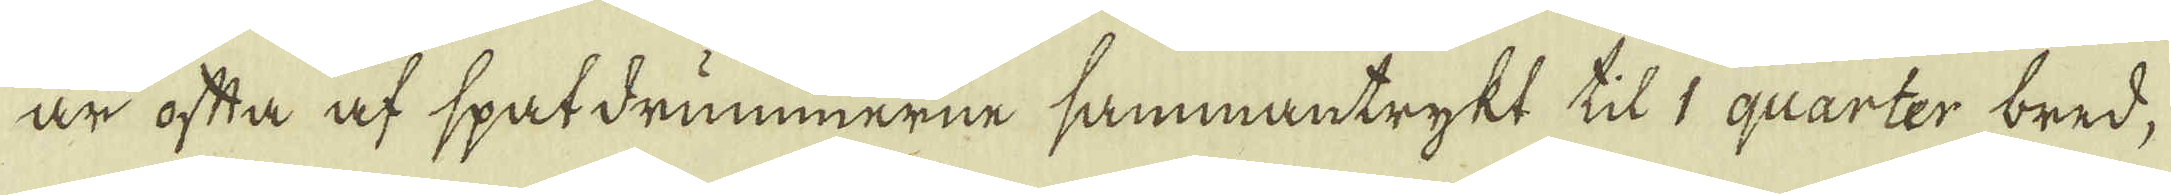är ofta af spatdrummerne sammantrykt til 1 quarter bred,
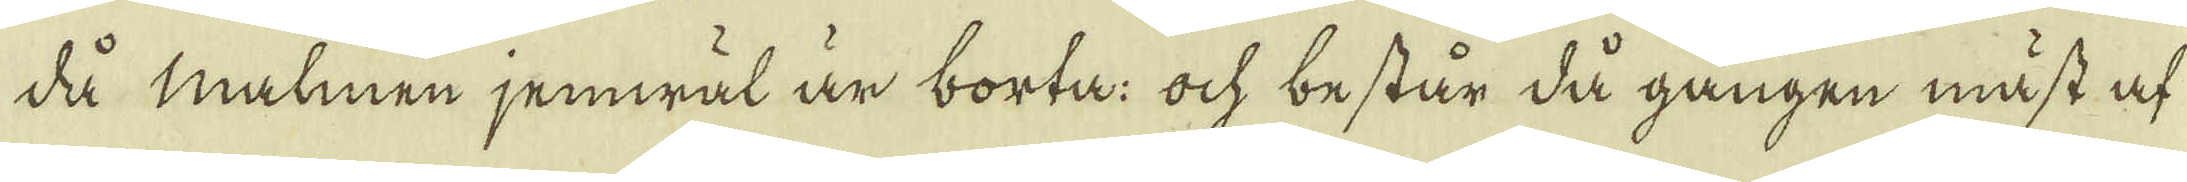då malmen jemwäl är borta: ock består då gången måst at
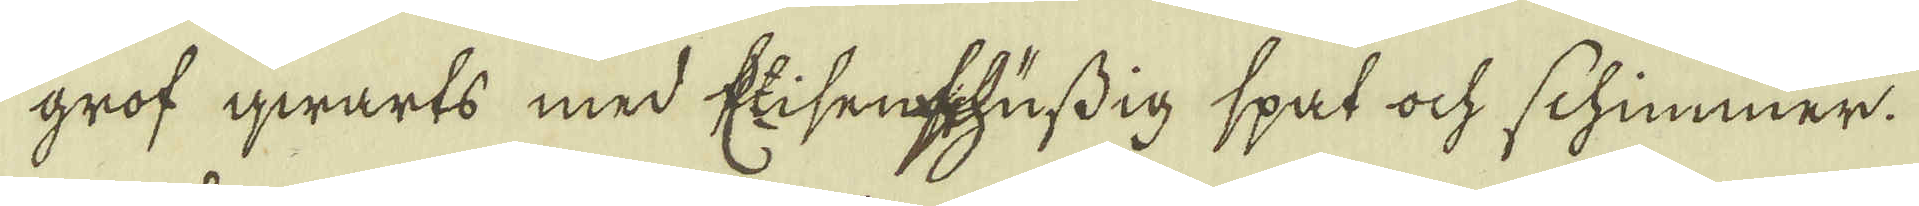grof qwarts med Eisenschufdig spat ock schimmer.
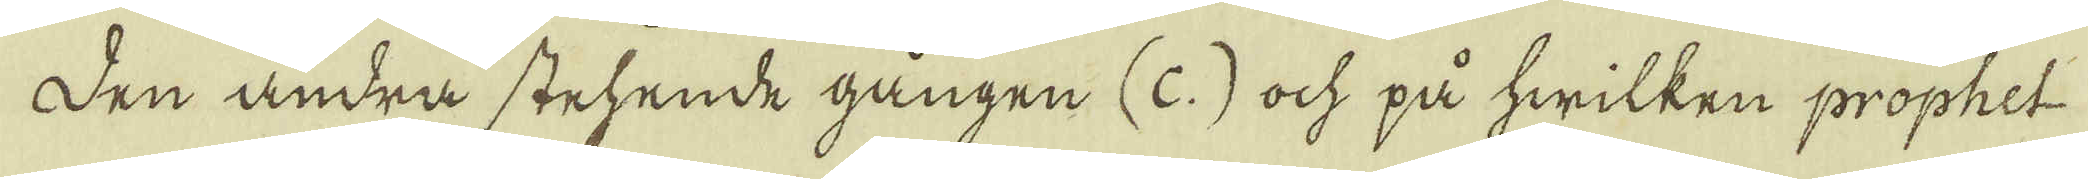Den andra stehende gången (c.) ock på hwilken prophet
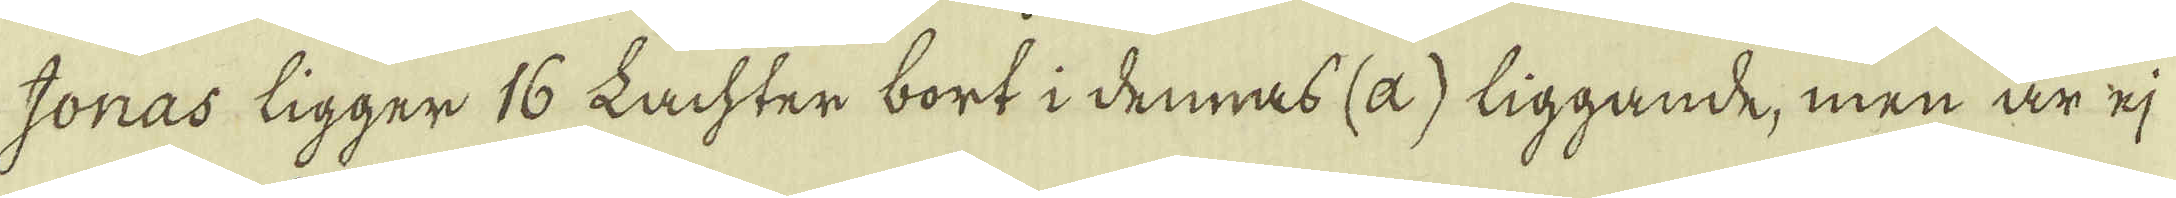Jonas ligger 16 Lachter bort i dennas (a) liggande, men är ej
